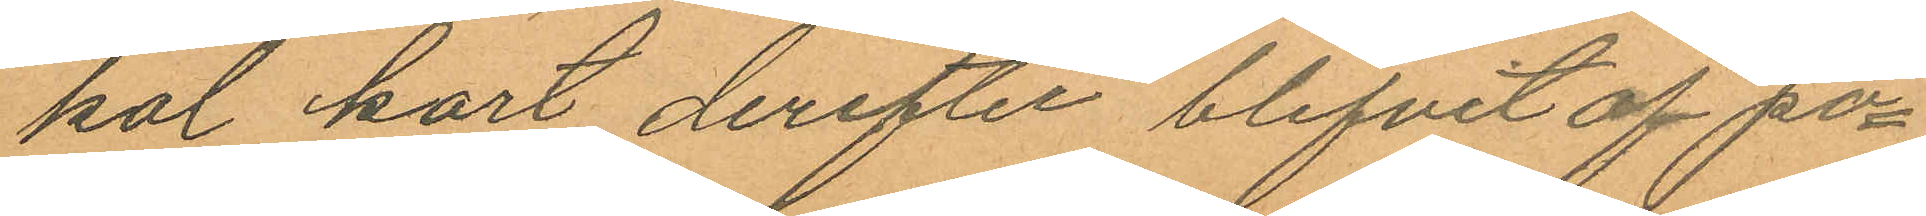kal kort derefter blifvit af po¬
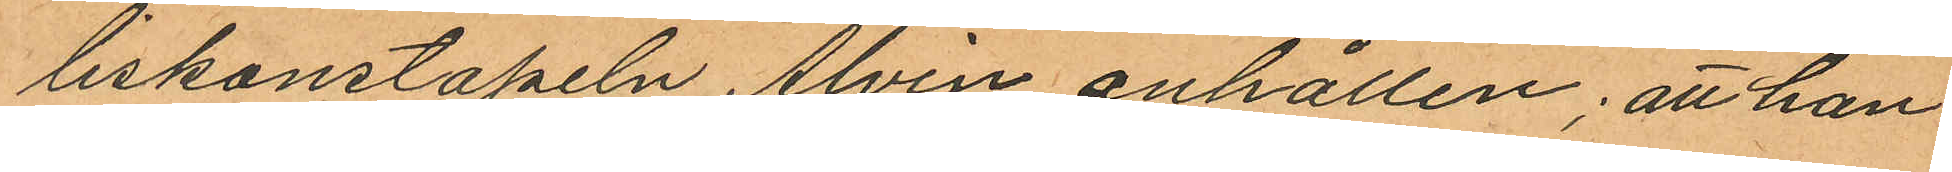liskonstapeln Alvin anhållen; att han
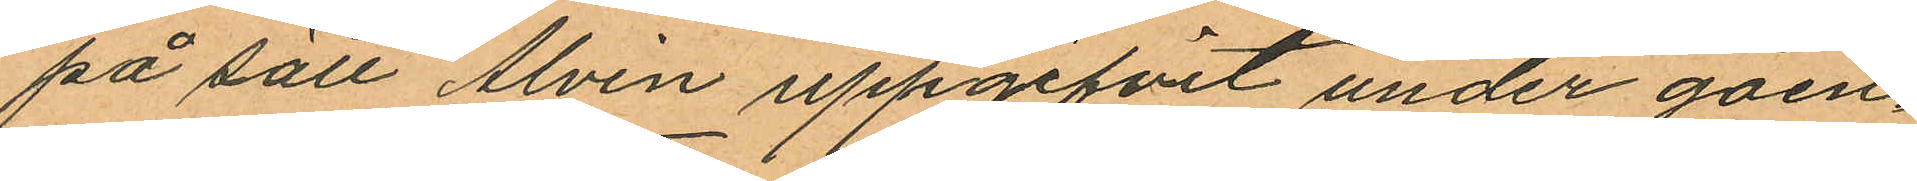på sätt Alvin uppgifvit under gåen¬
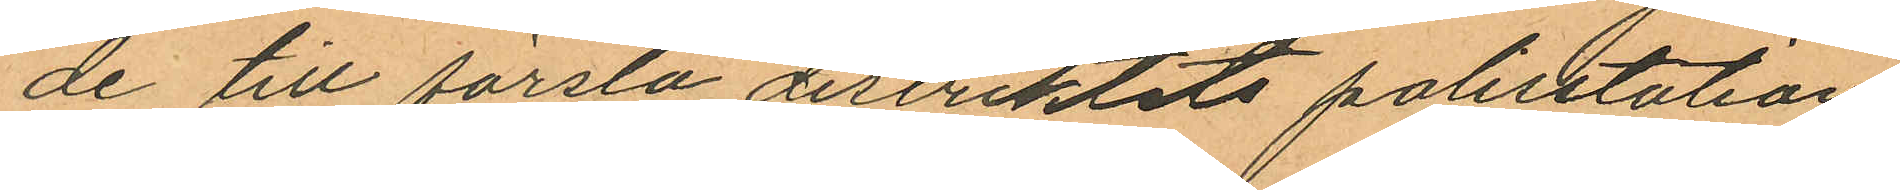de till första distriktets polisstation
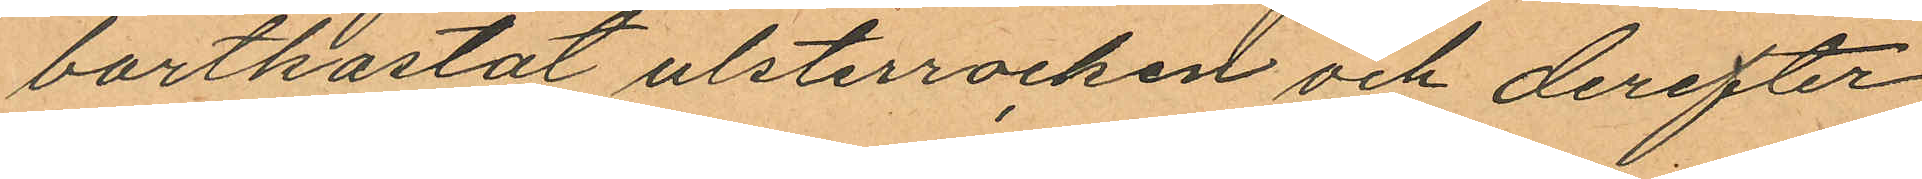bortkastat ulsterrocken och derefter
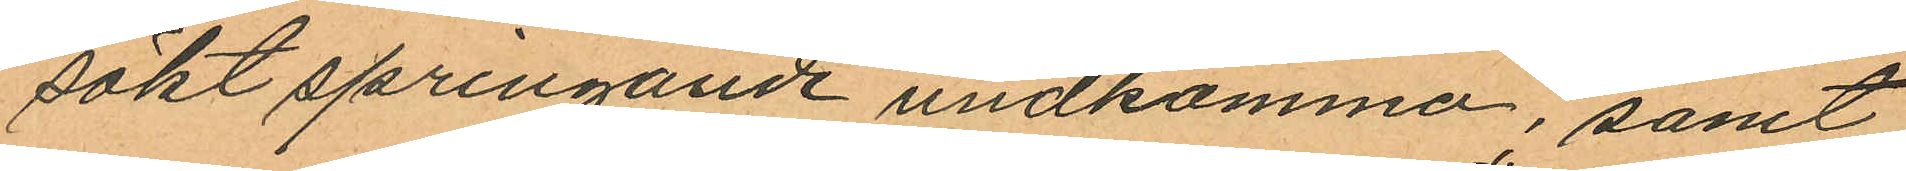sökt springande undkomma, samt
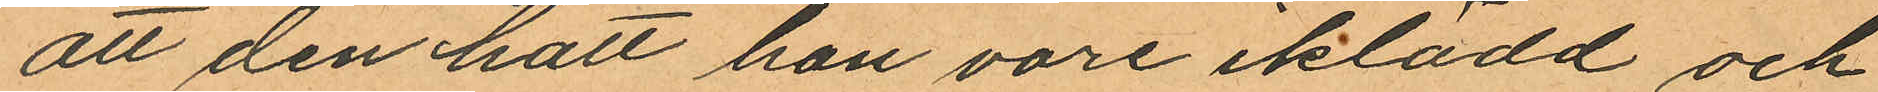att den hatt han vore iklädd och
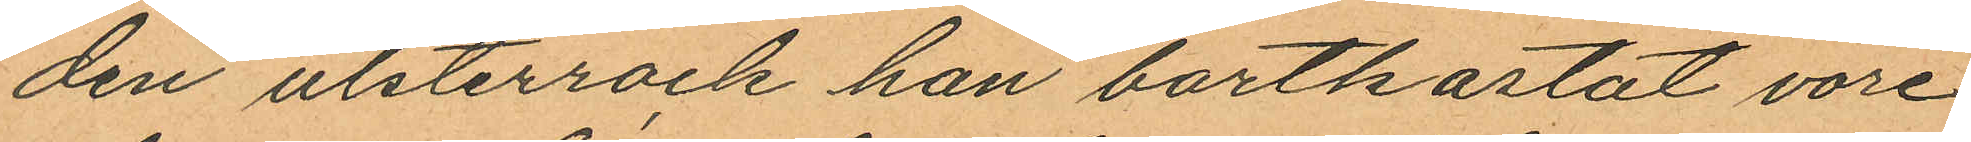den ulsterrock han bortkastat vore
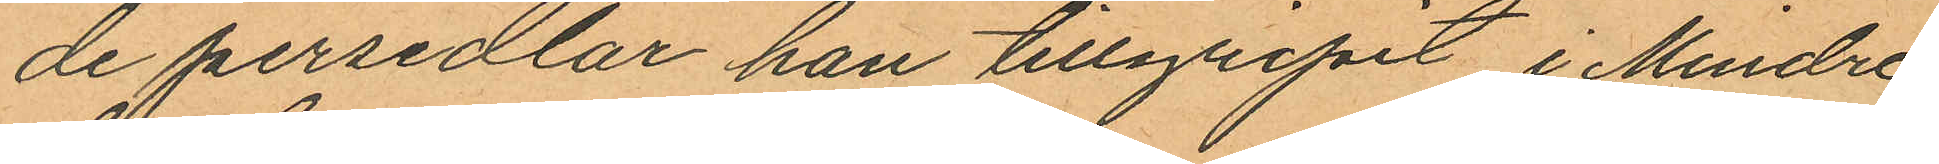de persedlar han tillgripit i Mindre
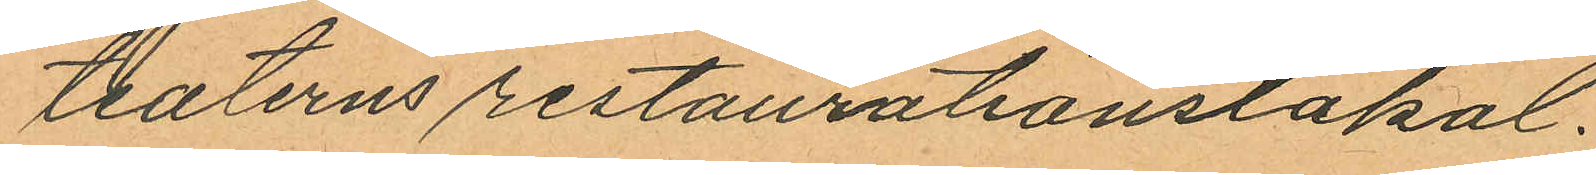teaterns restaurationslokal.
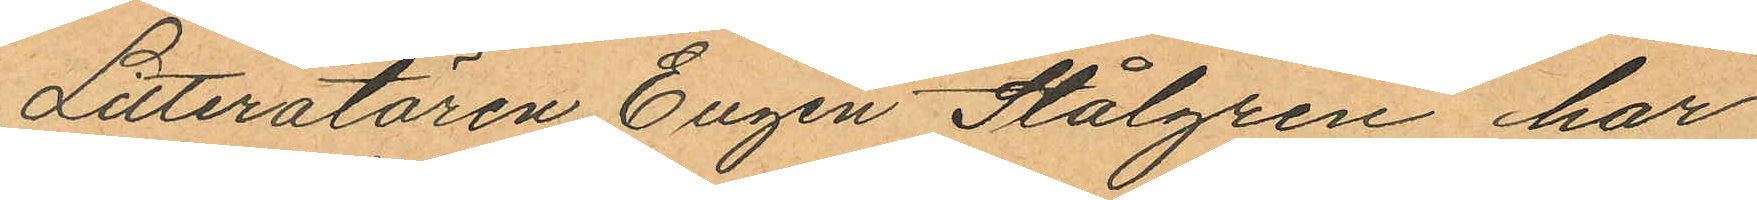Litteratören Eugén Stålgren har
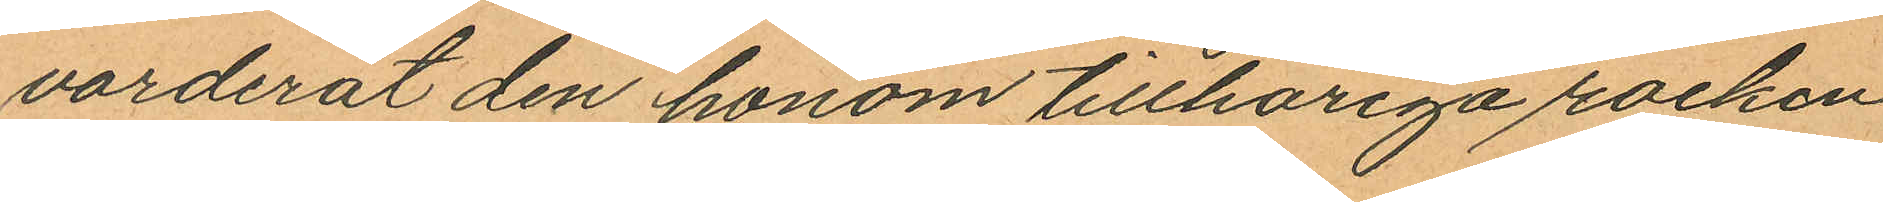värderat den honom tillhöriga rocken
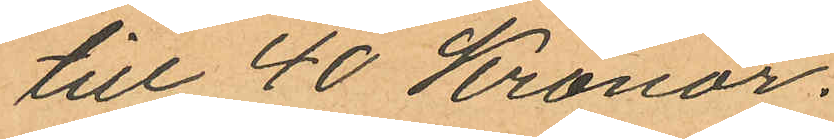till 40 Kronor.
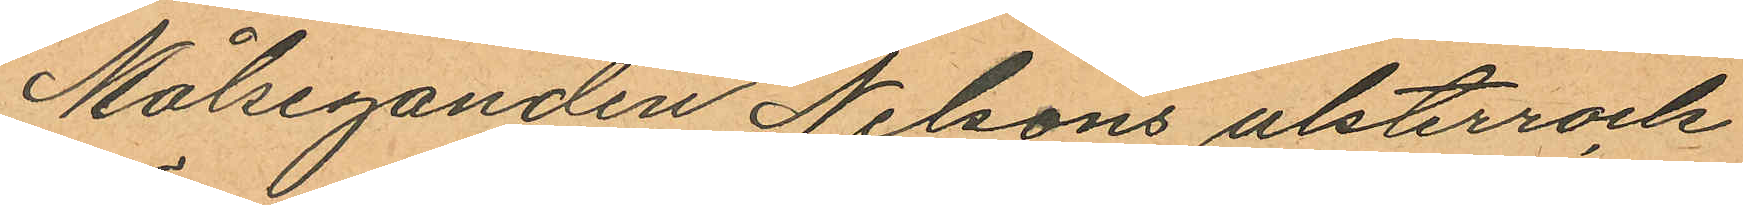Målseganden Nilsons ulsterrock
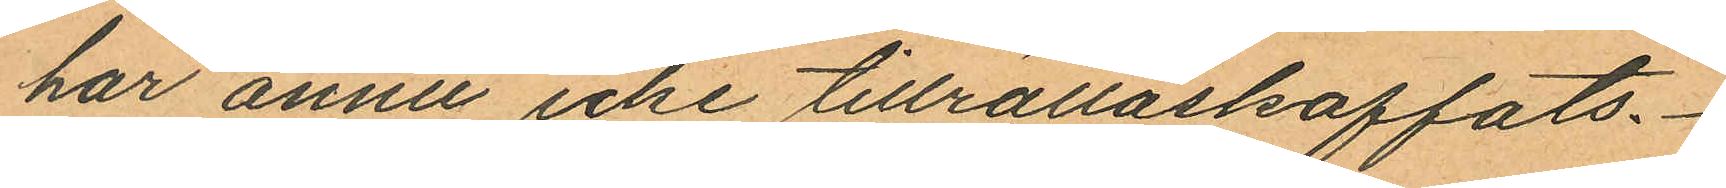har ännu icke tillrättaskaffats.
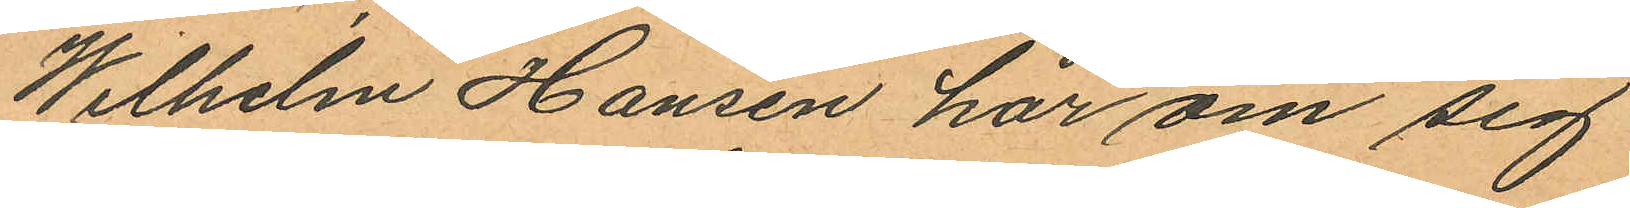Wilhelm Hansen har om sig
